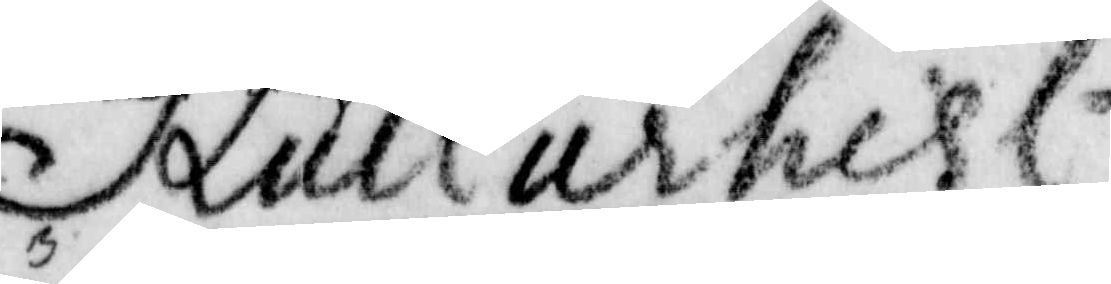Kullurhisl
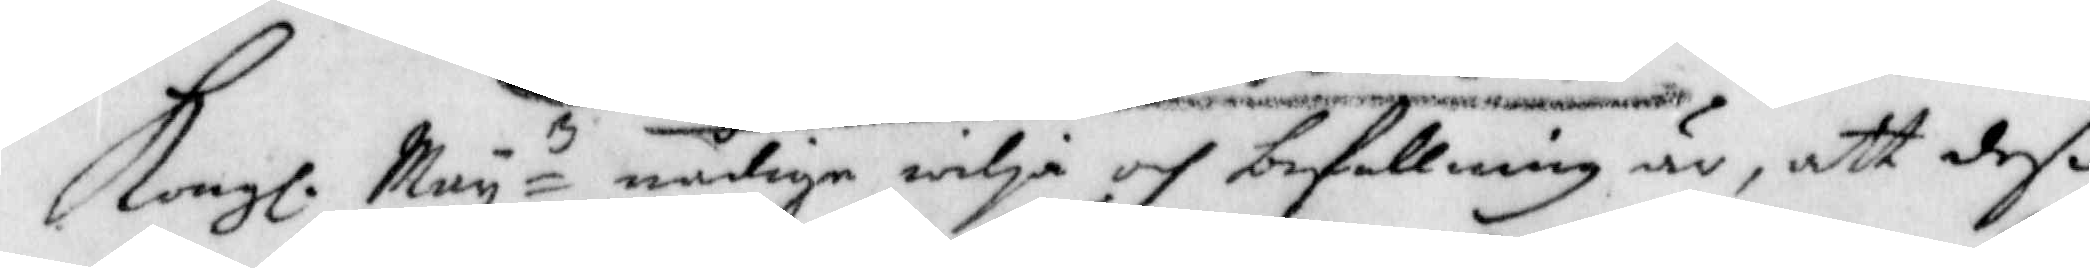Kongl. Mayz nådiga wilja och befallning är, att deß
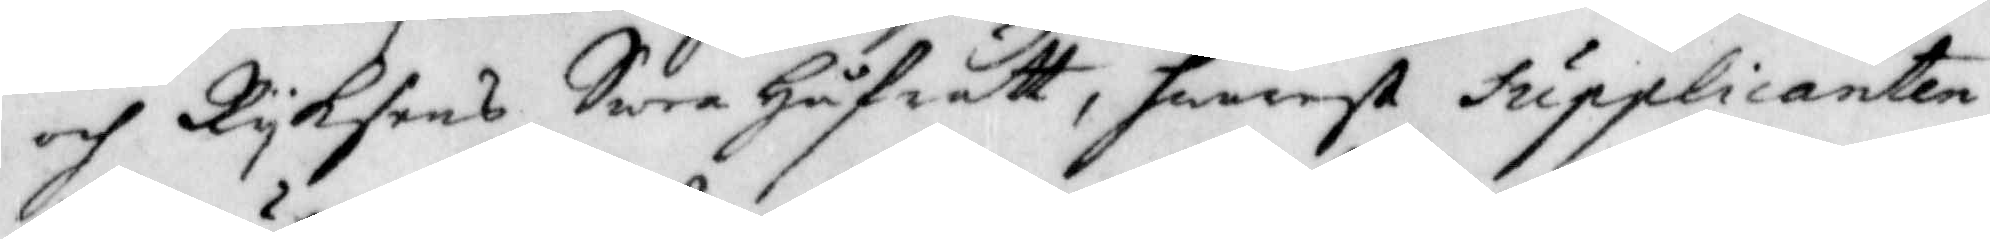och Ryksens Swea Håfrätt, hwarest Supplicanten
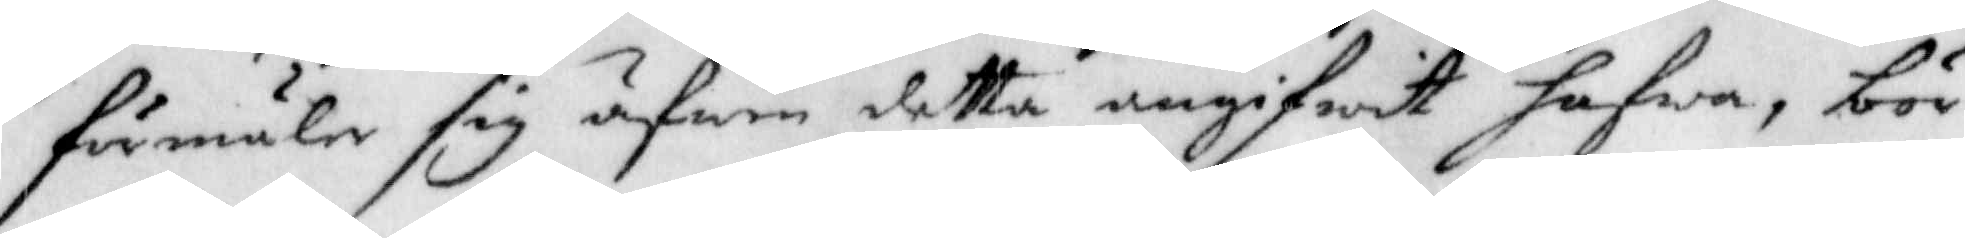förmäler sig äfwen detta angifwit hafwa, bör
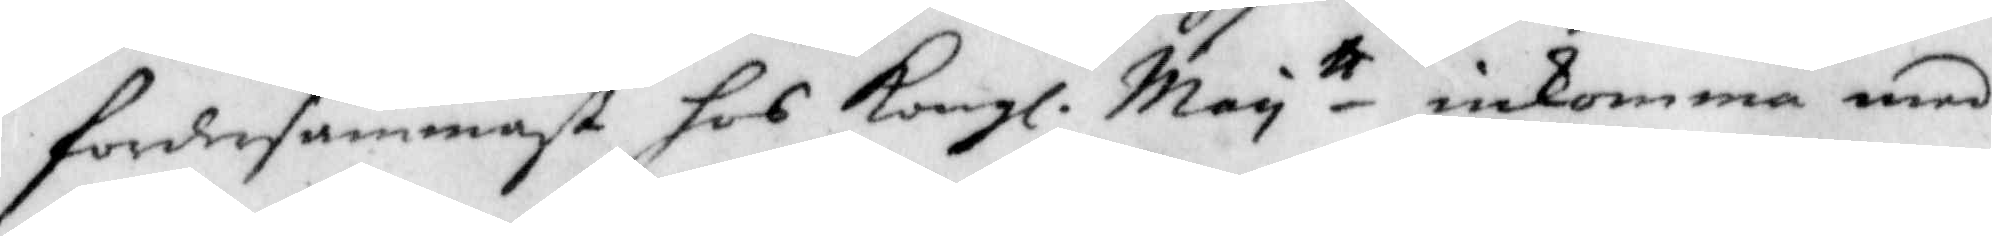fordersammast hos Kongl. May tt inkomma med
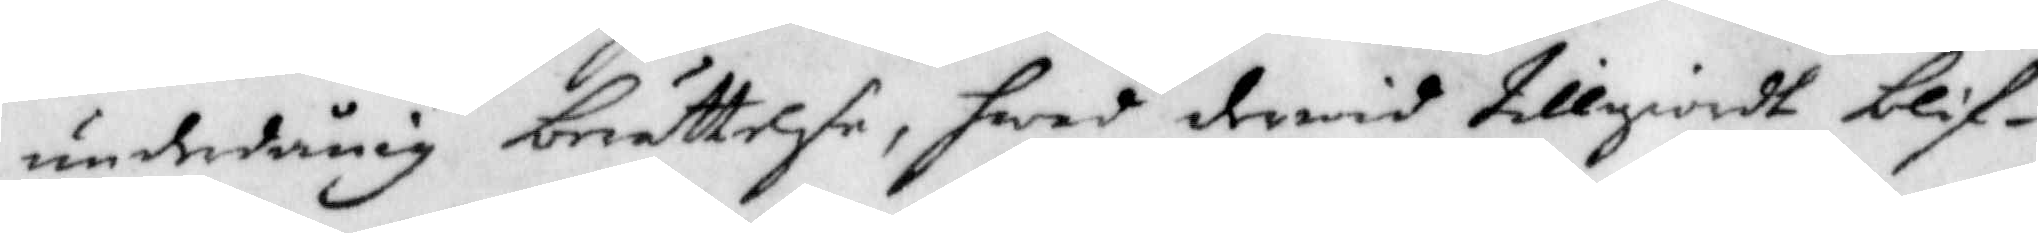underdånig berättelse, hwad derwid tillgiordt blif¬
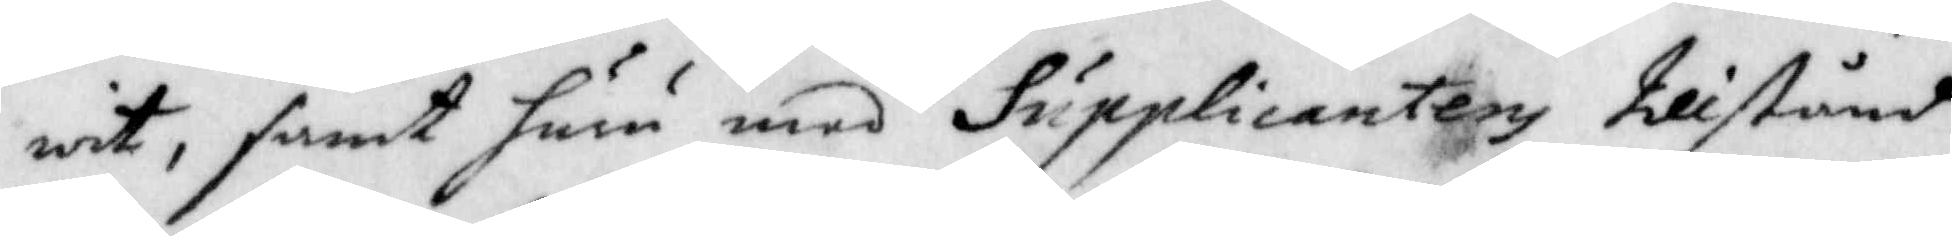wit, samt huru med Supplicantens tillstånd
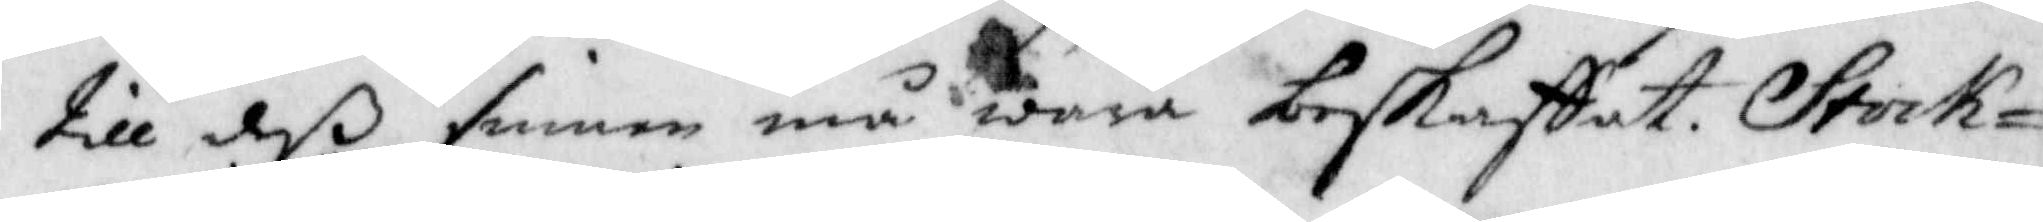till deß sinnen må wara beskaffat. Stock¬
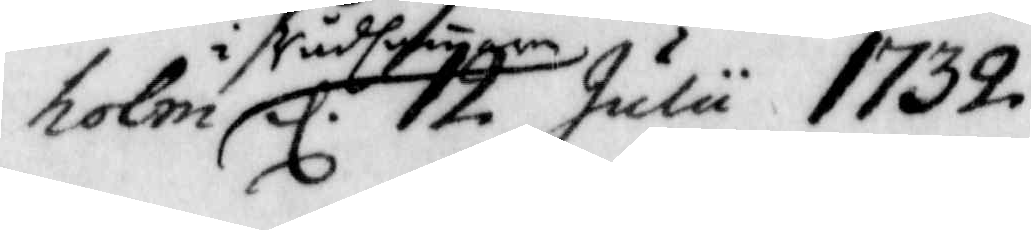holm i rådstugan d. 12 Julu 1732.
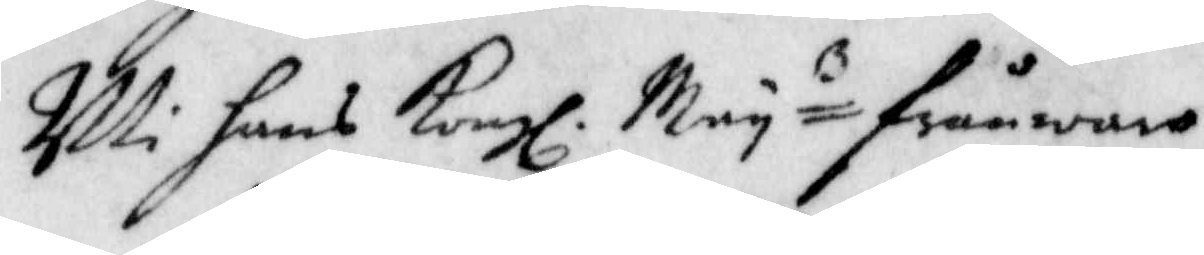uti hans Kongl. Mayz frånwaro
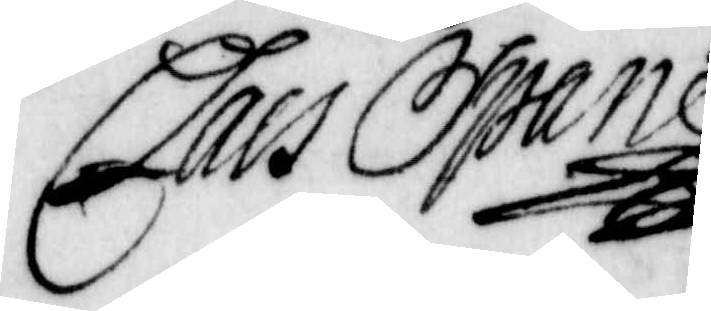Claes Sparre
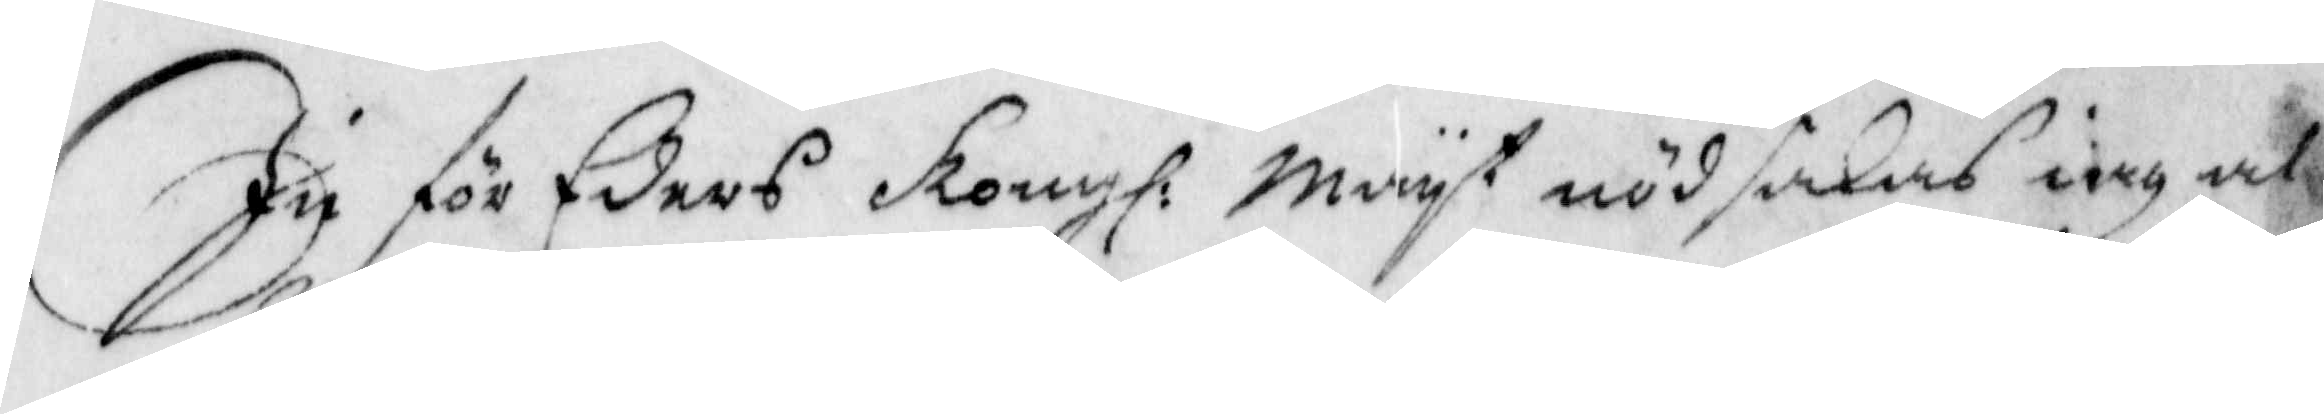Ju för Eders Kongl: Mayt nödsakad iag al¬
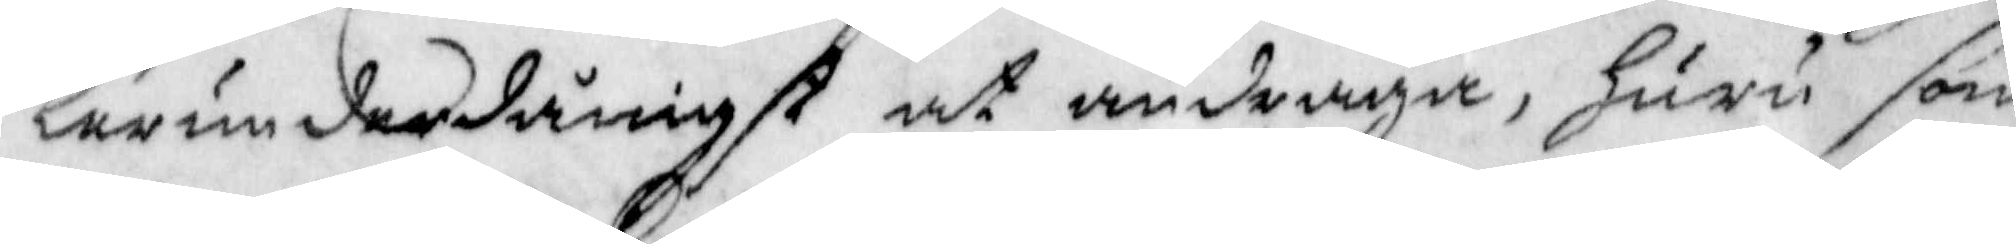lerunderdånigst at andraga, huru som
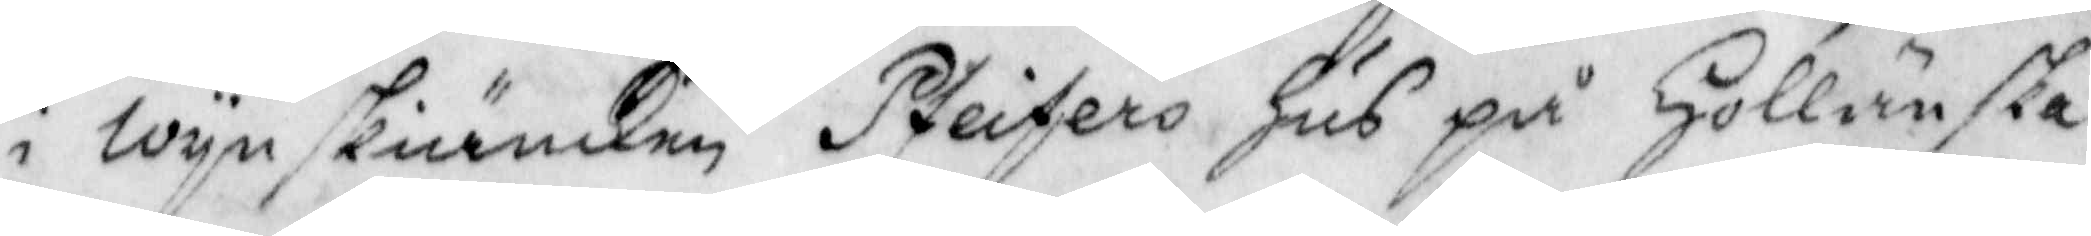i wynskiänken Pfeiters Hus på Hollänska
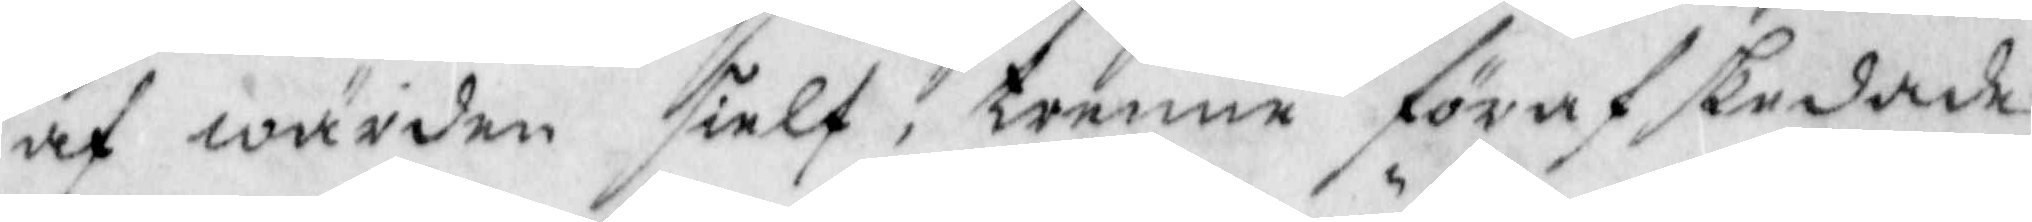af wärden sielf, trenne förafskedade
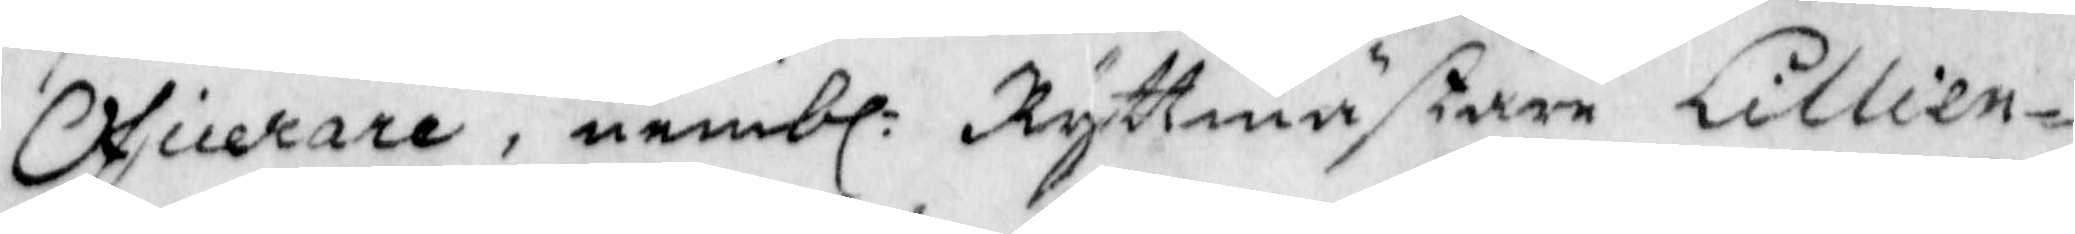Oficerare, nembl: Ryttmästaren Lillien¬
